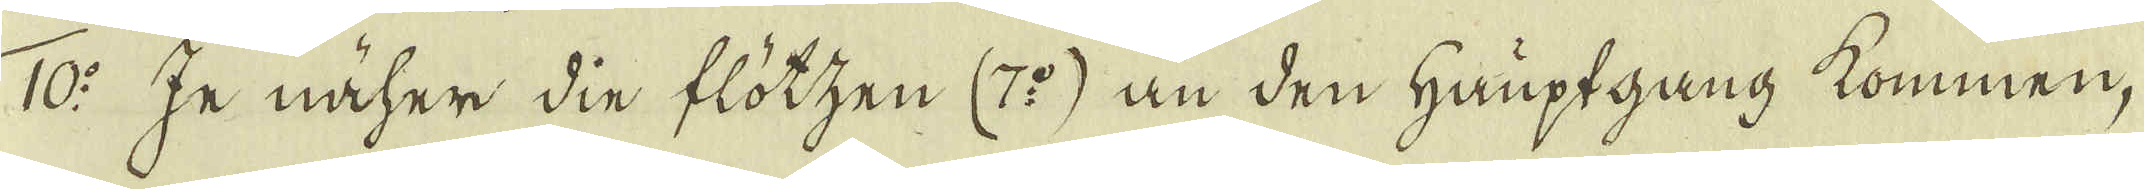10:o Je näher din flötzen (7:o) än den Hauptgang kommen,
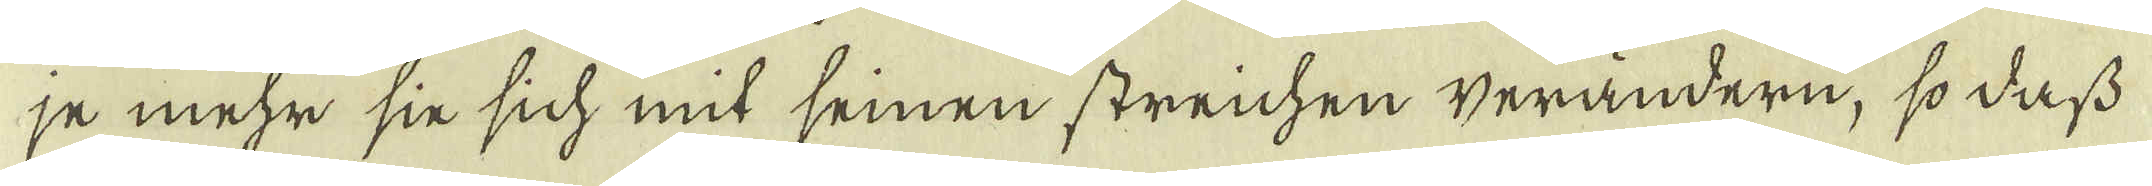je mehr sin sich mit seinen streichen verändern, sodass
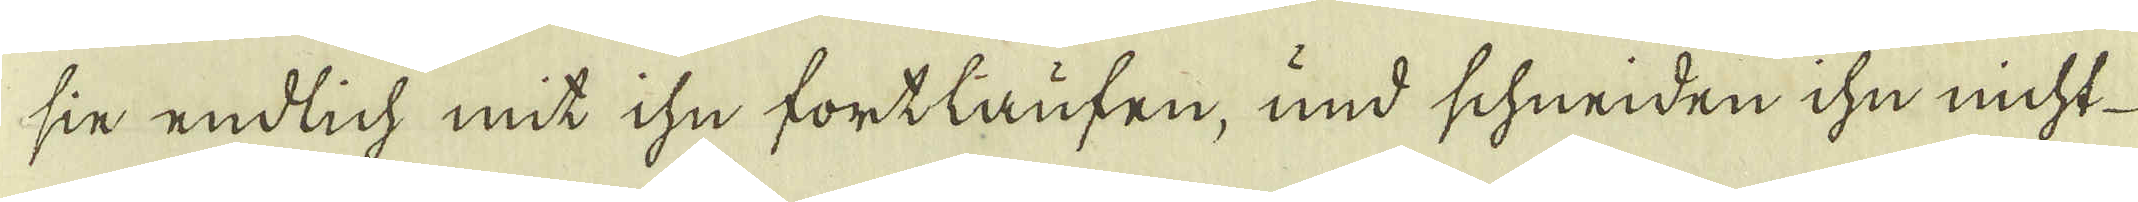sin endlich mit ihn fortlaufen, und schneiden ihn nicht
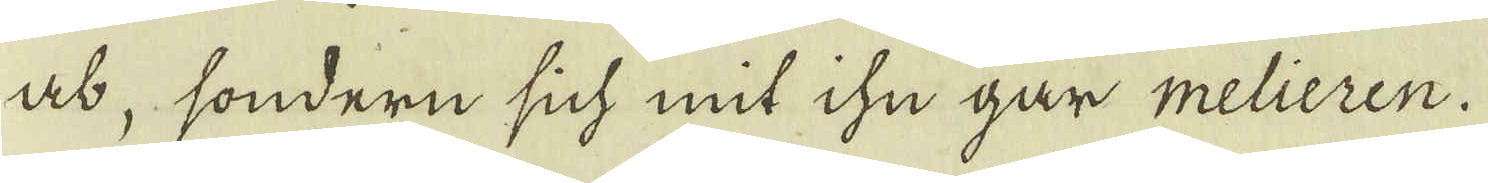ab, sondern sich mit ihn går melieren.
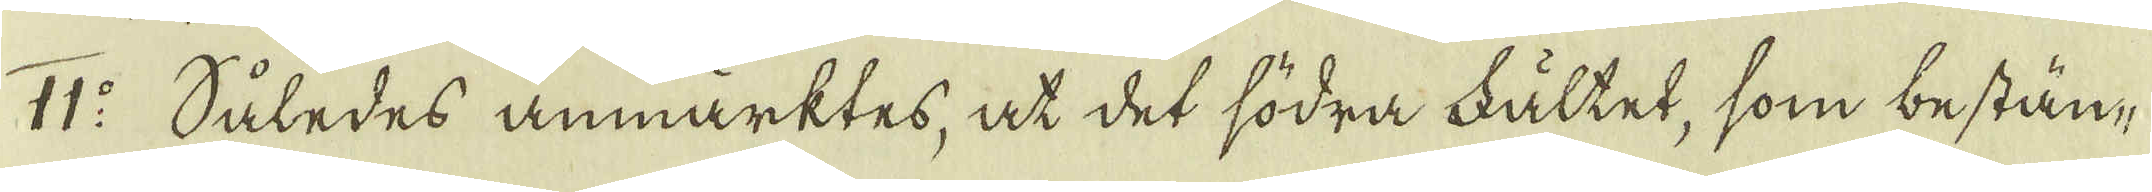11:o Således anmärktes, at det södra fältet, som bestän-
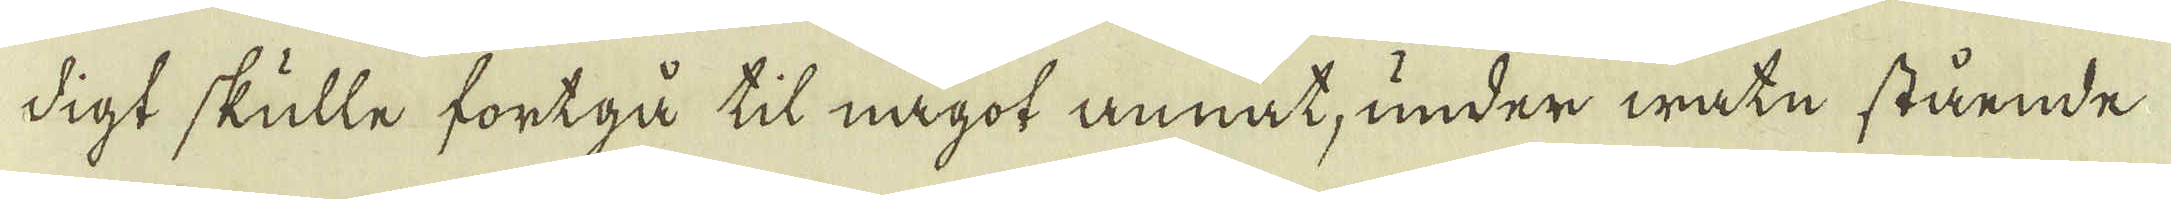digt skulle fortgå til något annat, under watn stående
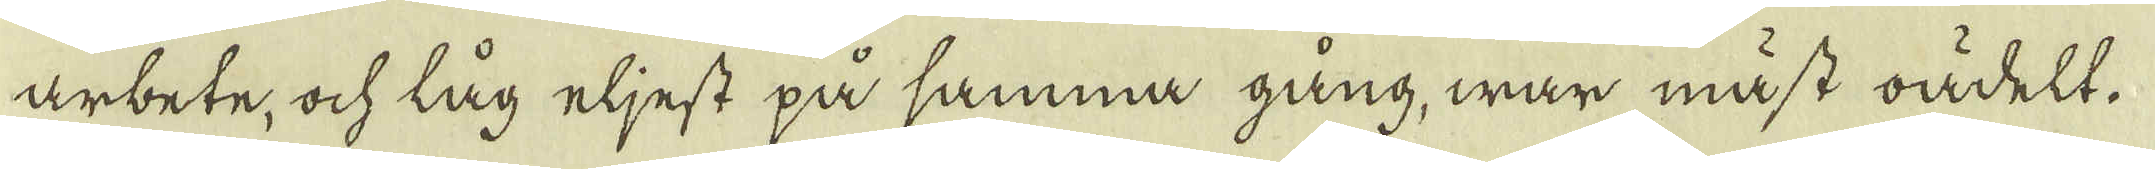arbete, ock låg eljest på samma gång, war måst oädelt.
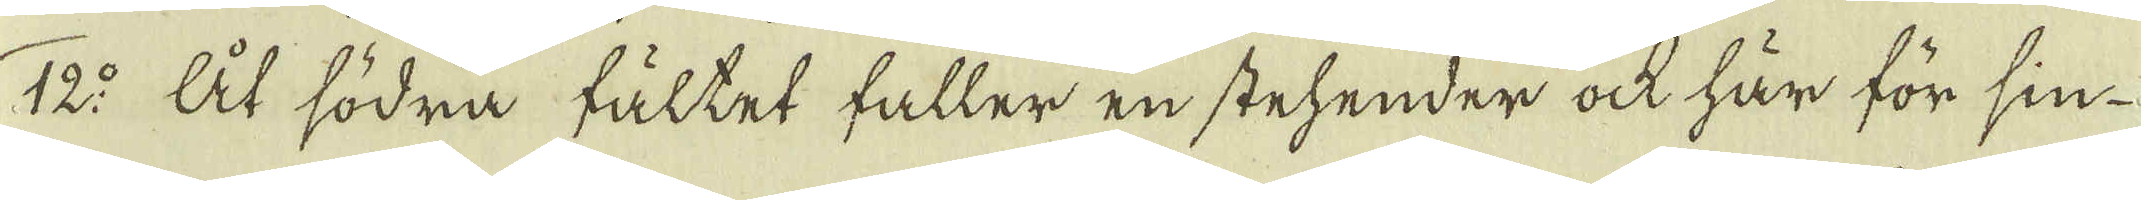12:o At södra fältet faller en stehender ock här för sin
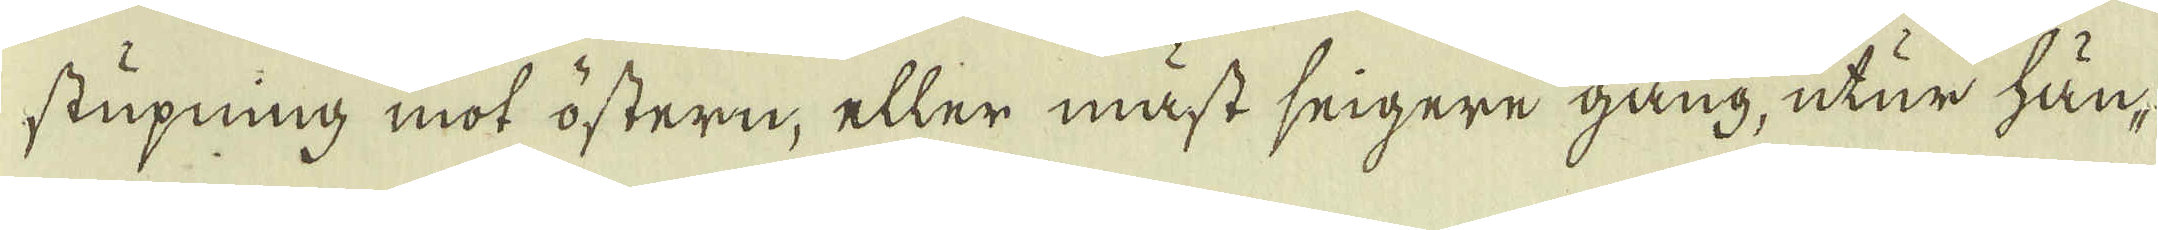stupning mot östern, eller måst seigere gång, utur hän-
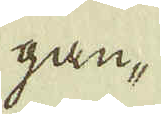gan-
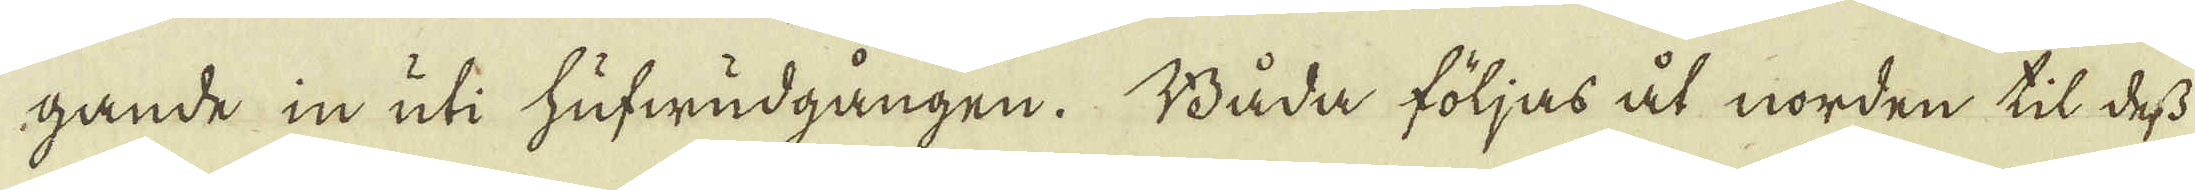gande in uti hufwudgången. Båda följas åt norden til dess
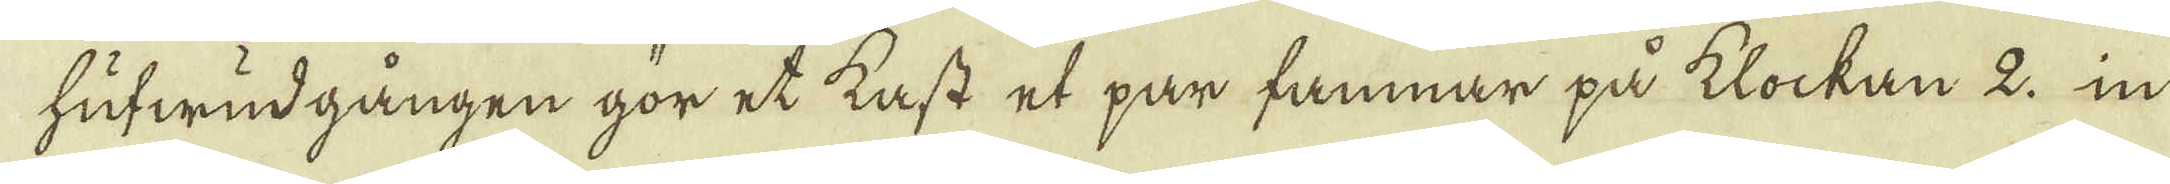hufwudgången gör et kast et par famnar på klockan 2. in
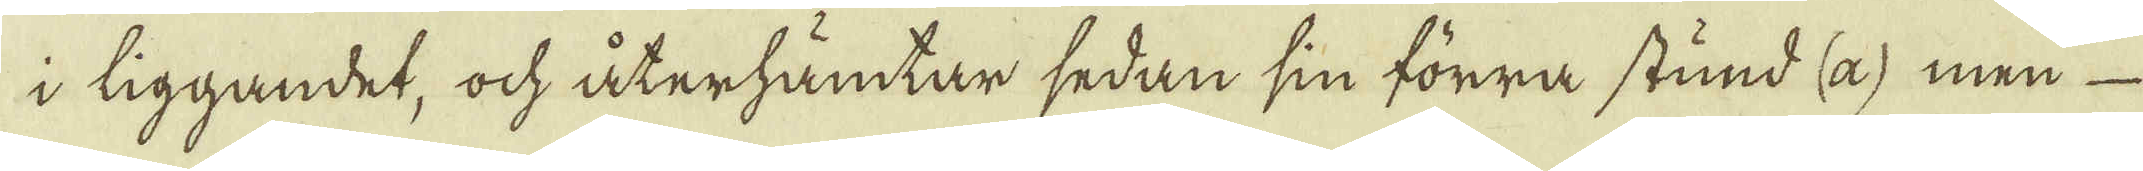i liggandet, och återhämtar sedan sin förra stund (a) men
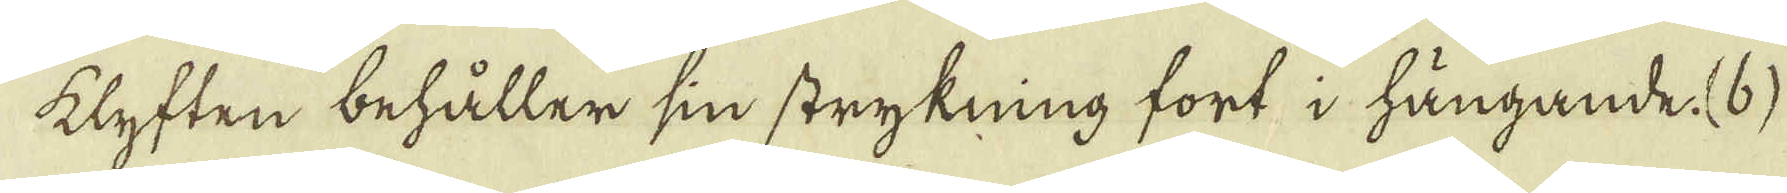klyften behåller sin strykning fort i hängande. (b)
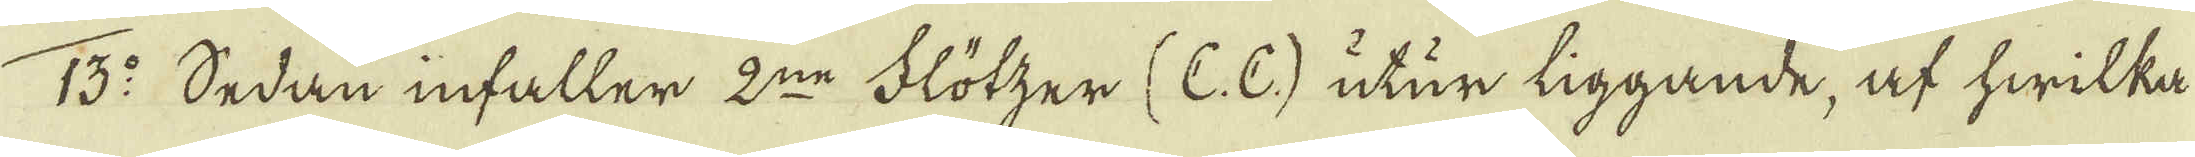13:o Sedan infaller 2:ne Flötzer (C. C) utur liggande, af hwilka
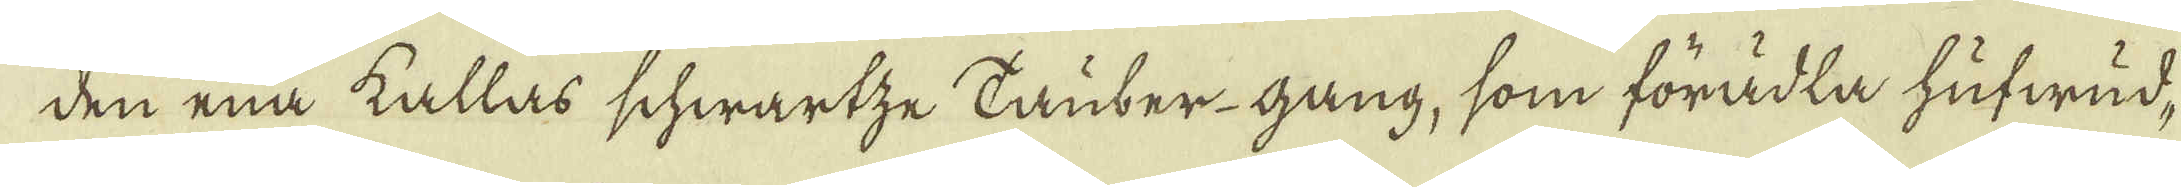den ena kallas schwartze Tauber-gang, som förädla hufwud-
